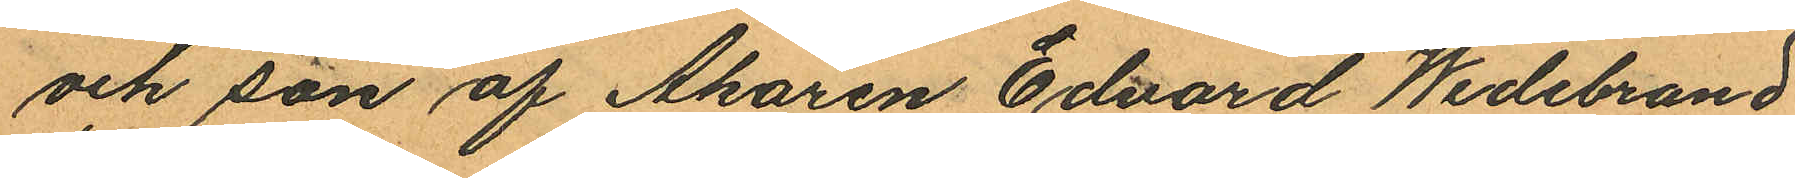och son af Åkaren Edvard Widebrand
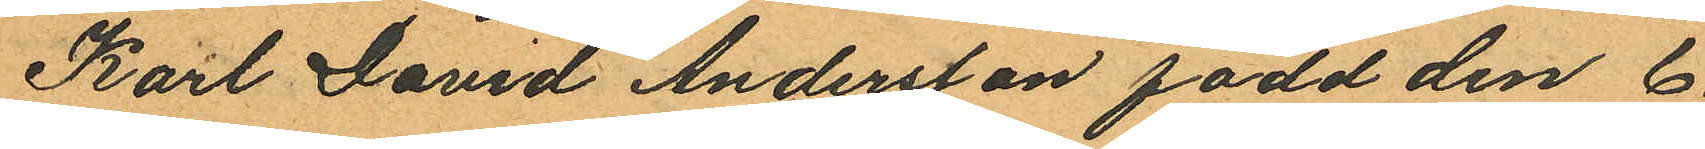Karl David Andersson född den 6
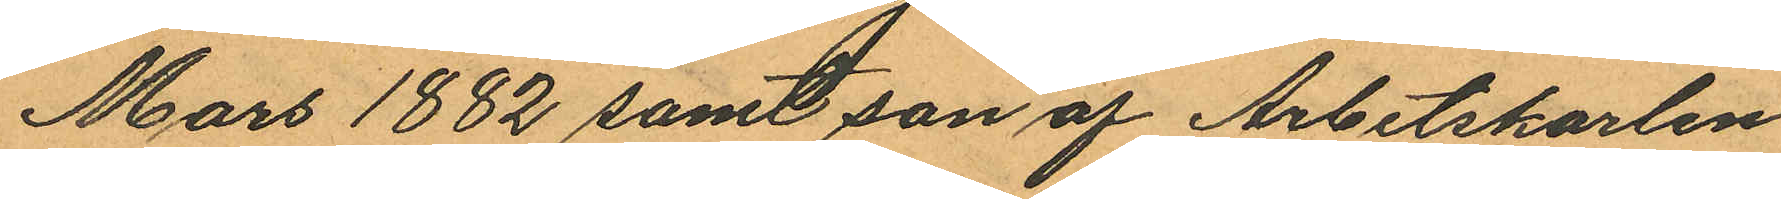Mars 1882 samt son af Arbetskarlen
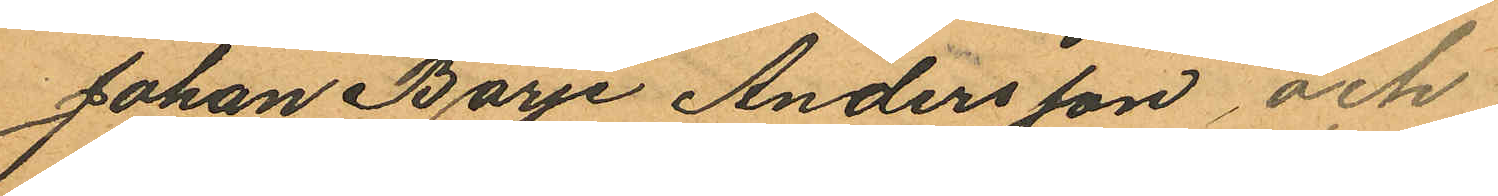Johan Börje Andersson och
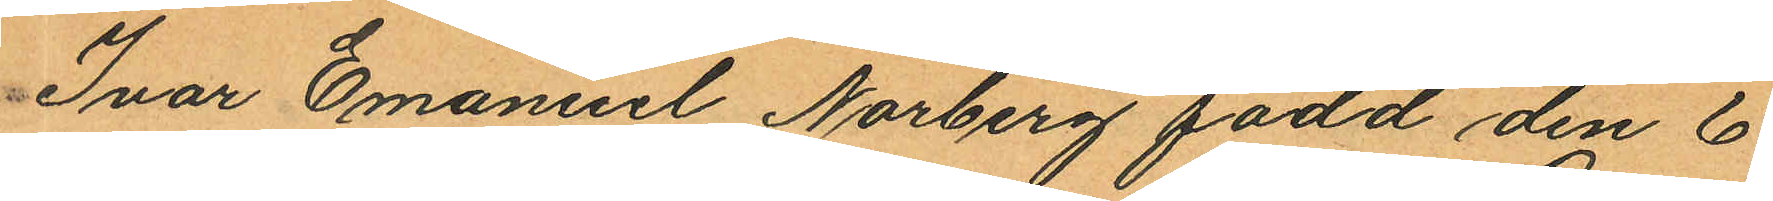Ivar Emanuel Norberg född den 6
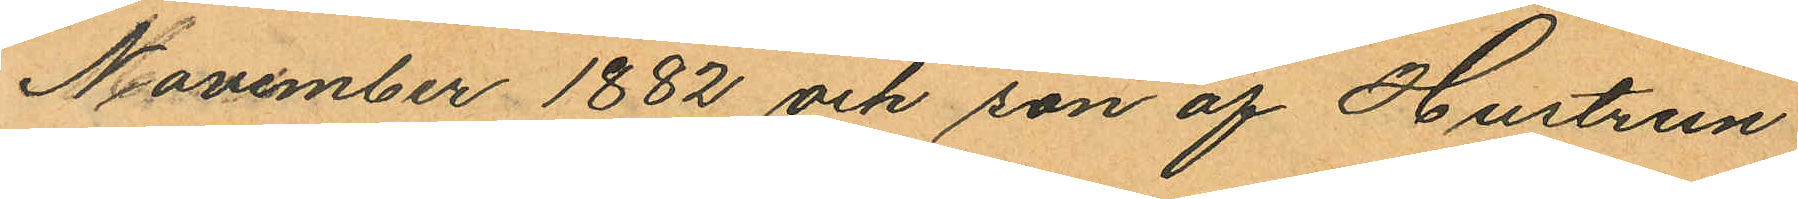November 1882 och son af Hustrun
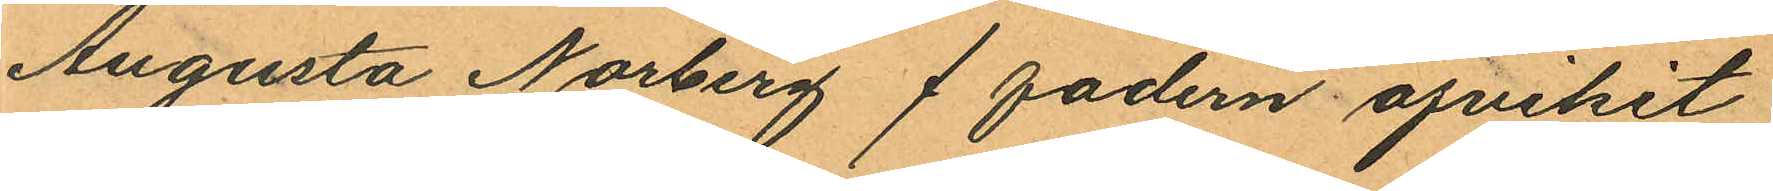Augusta Norberg / fadern afvikit
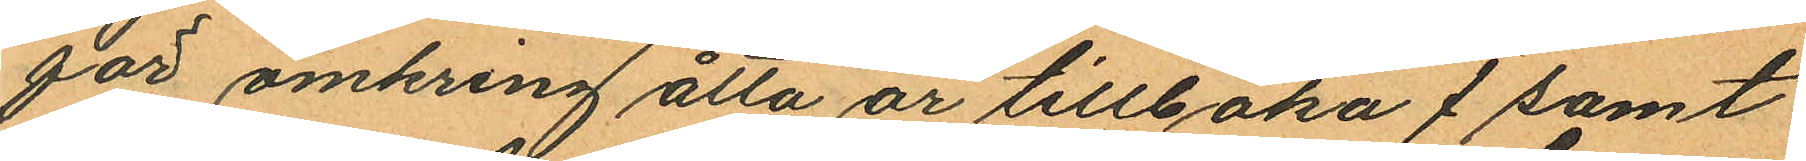för omkring åtta år tillbaka / samt
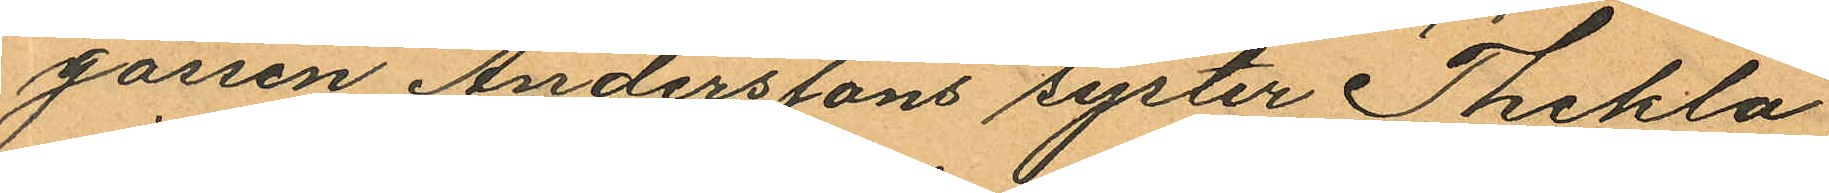gossen Anderssons syster Thekla
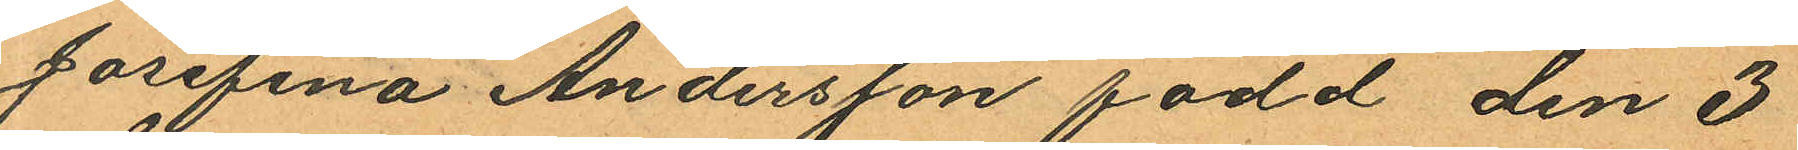Josefina Andersson född den 3
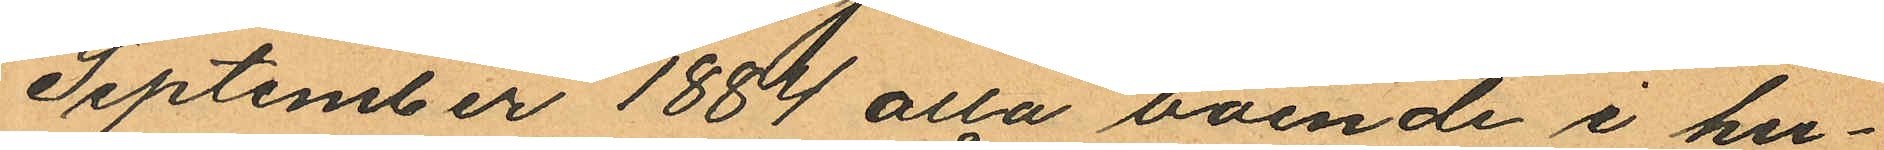September 1884 alla boende i hu¬
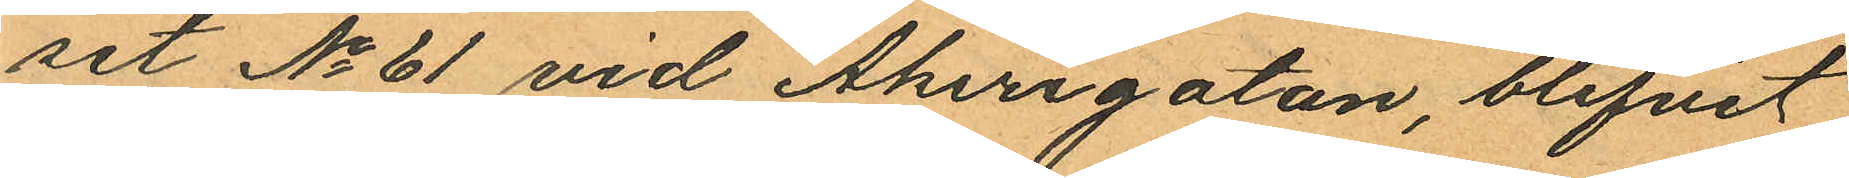set No 61 vid Åkerigatan, blifvit
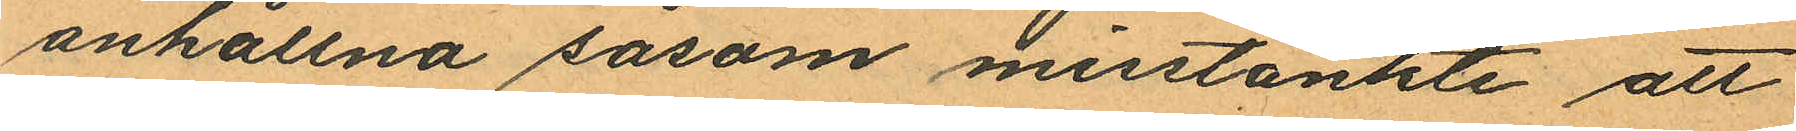anhållna såsom misstänkte att
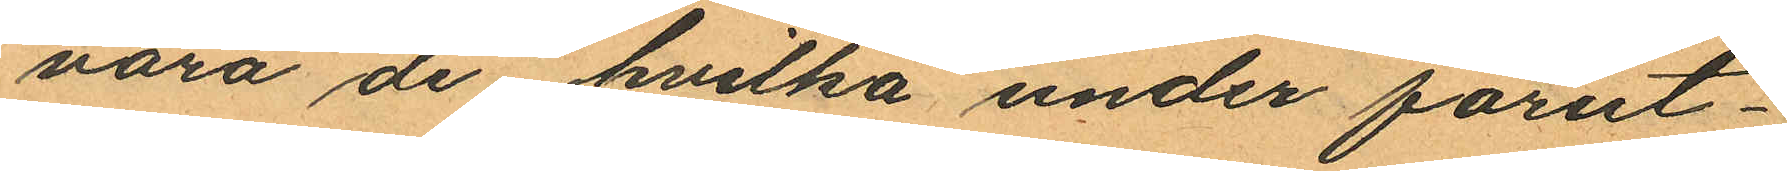vara de hvilka under förut¬
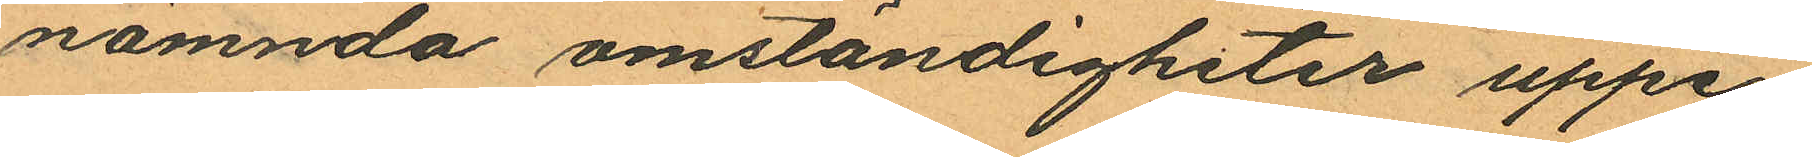nämnda omständigheter uppe¬
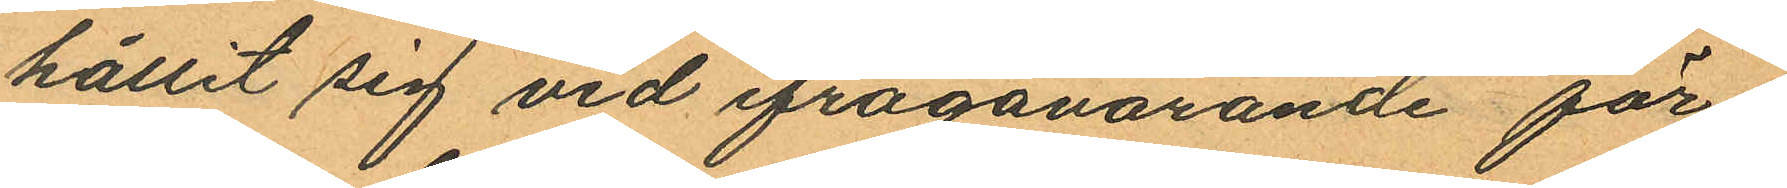hållit sig vid ifrågavarande för
